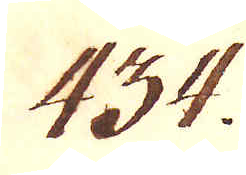434.
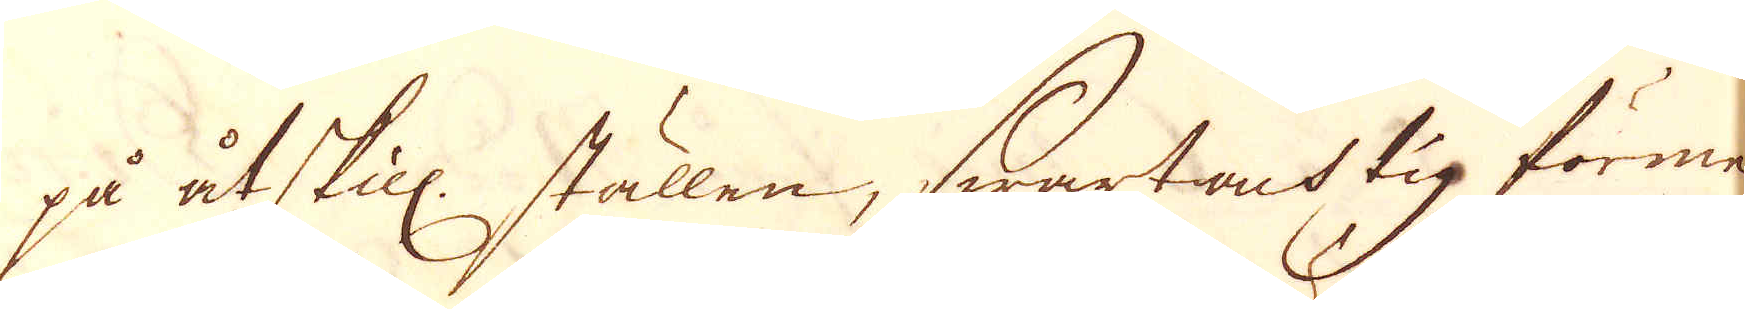på åtskill. ställen, swartachtig förme-
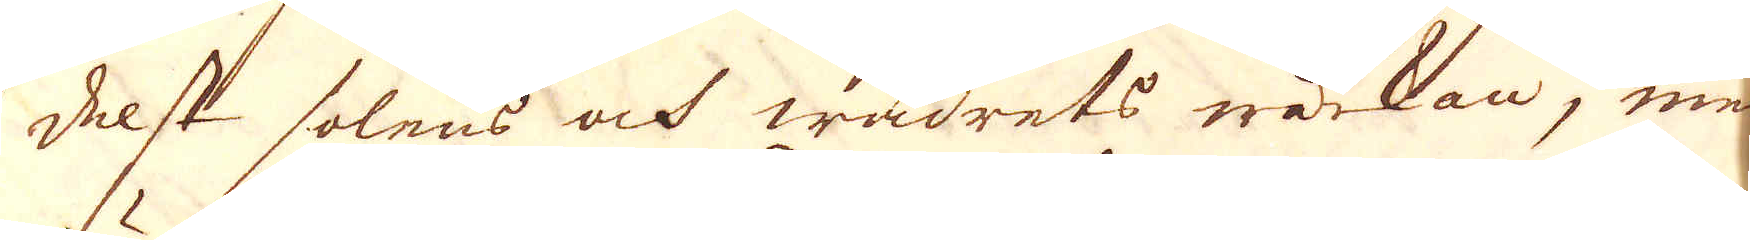delst solens och wädrets wärkan, med
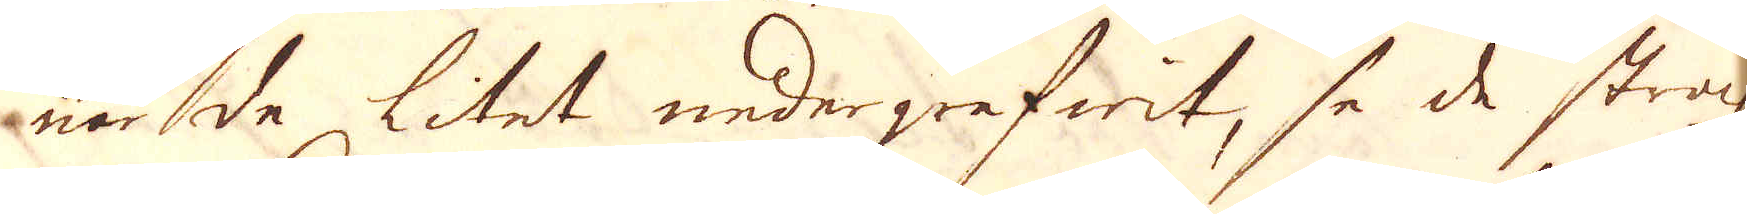när de litet nedergrefwit, så de straxt,
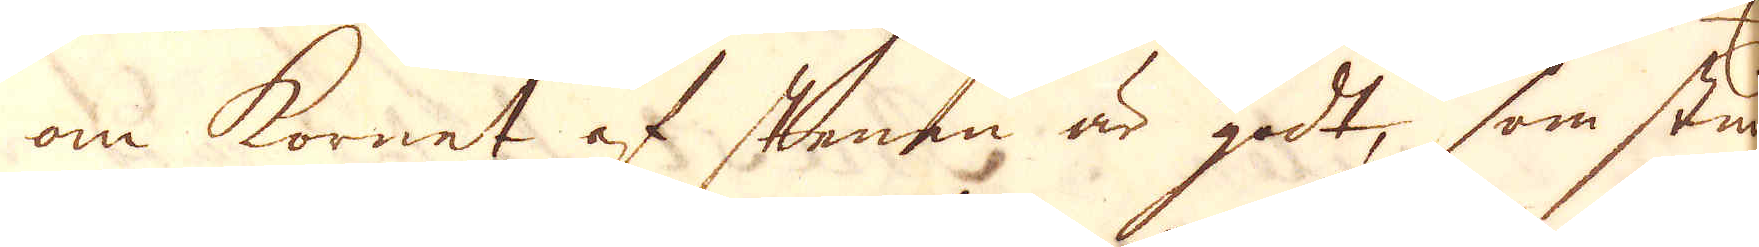om kornet af stenen är godt, som stun-
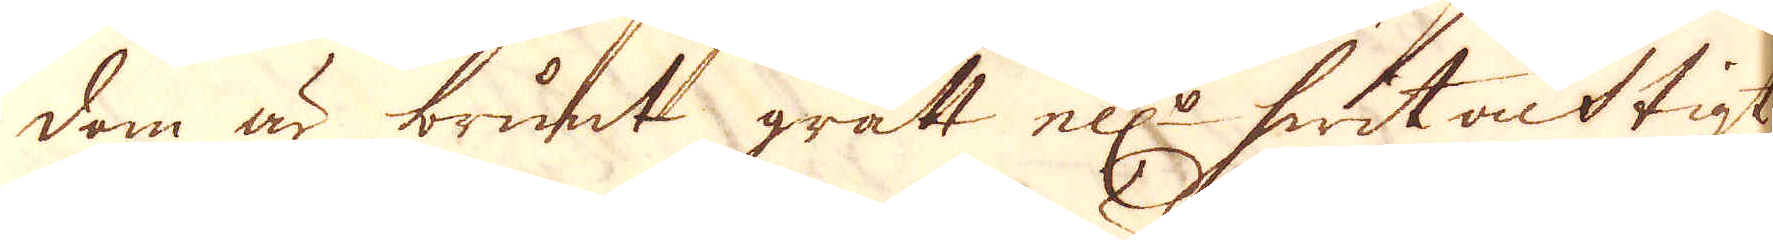dom är brunt grått ell:r hwitacktigt
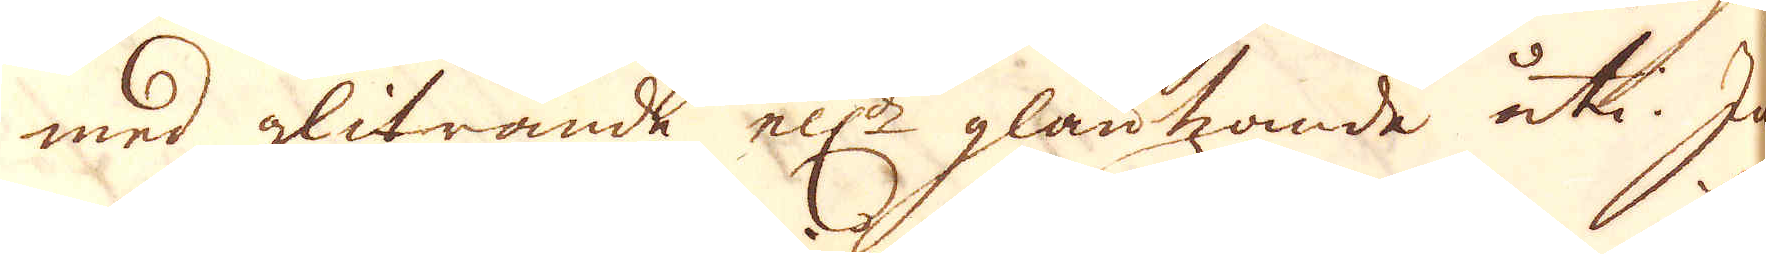med glitrande ell:r gläntznde uti. Ju
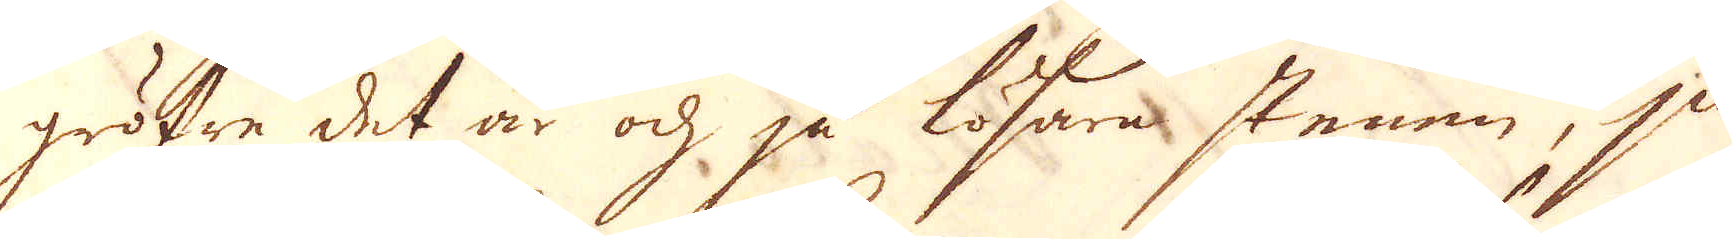gröfre det är och på lösare stenen, ju-
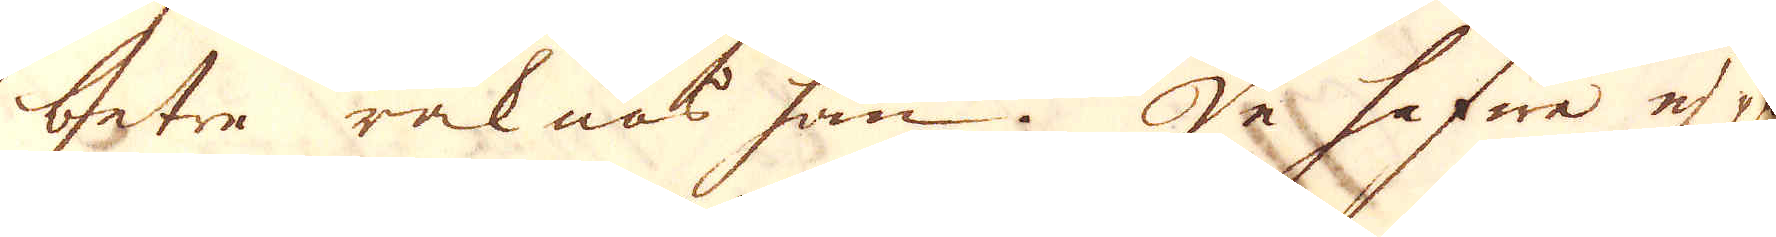betre räknas han. De hafwe ej på
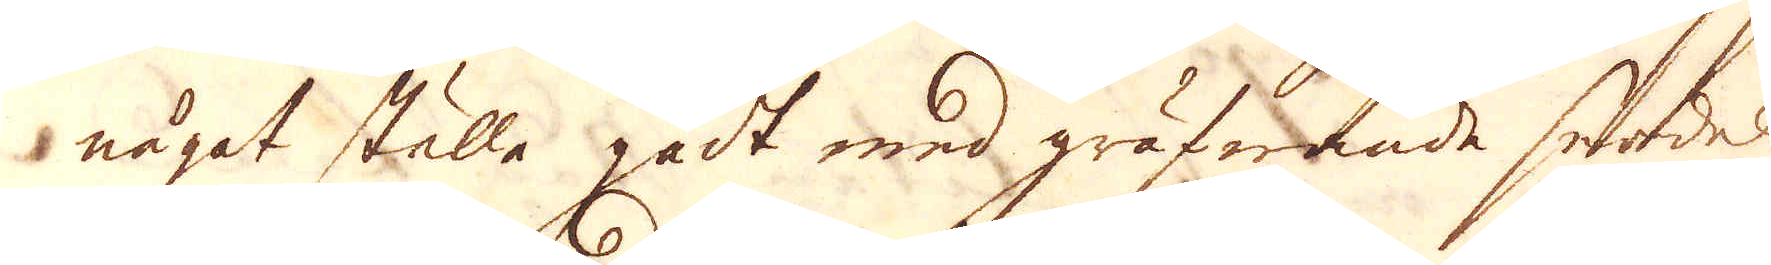något ställe gådt med gräfwande serdeles
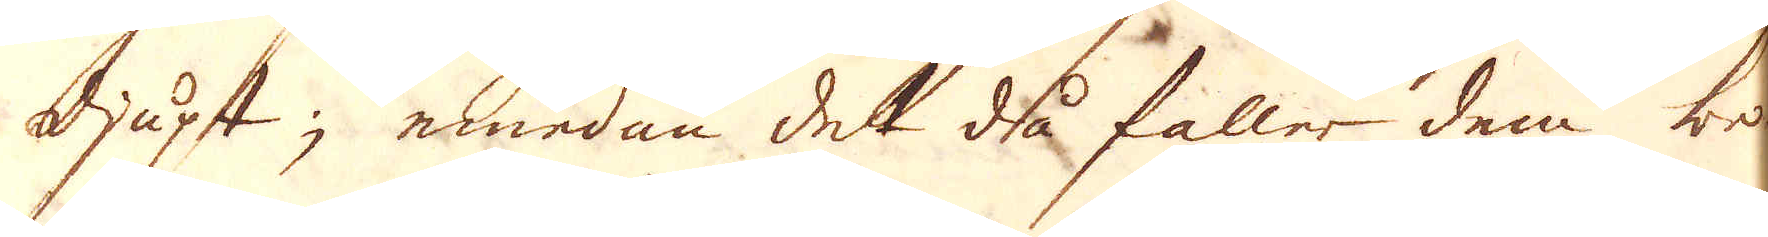djupt; emedan det då faller dem be-
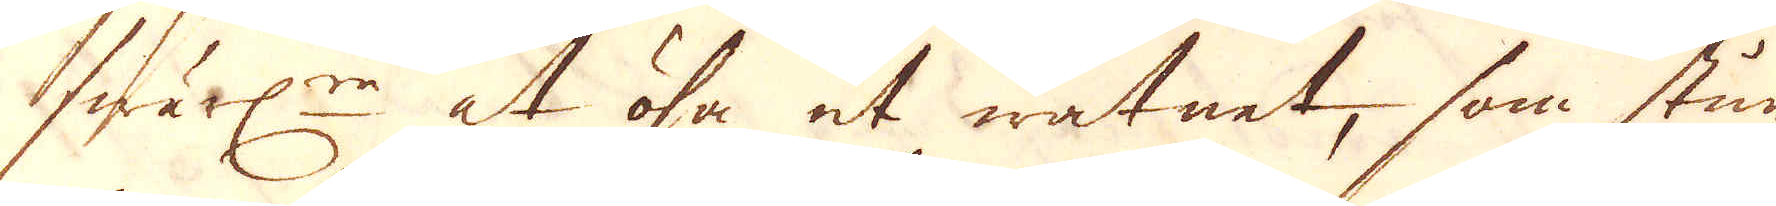swärl:re at ösa ut watnet, som stun-
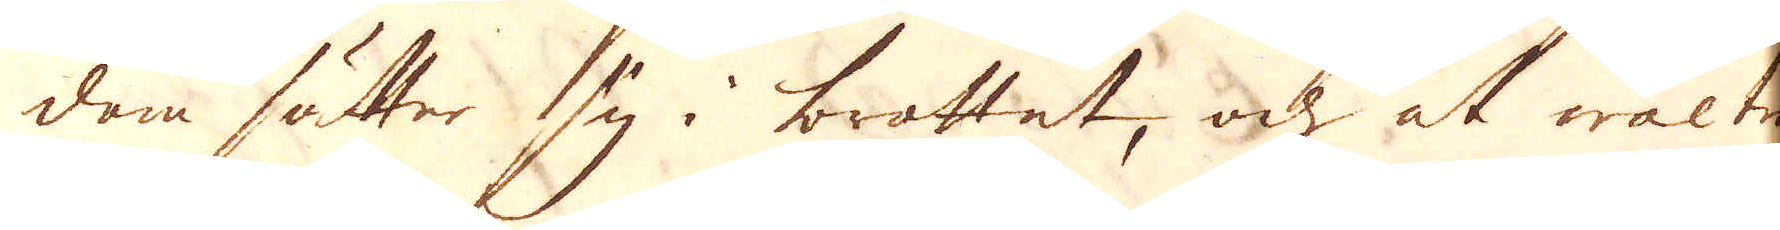dom sätter sig i brottet, och at wälte
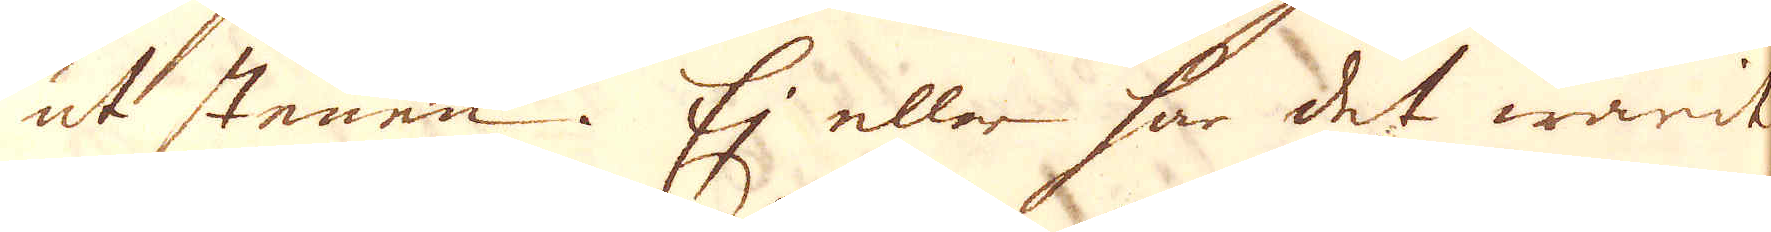ut stenen. Ej eller har det warit
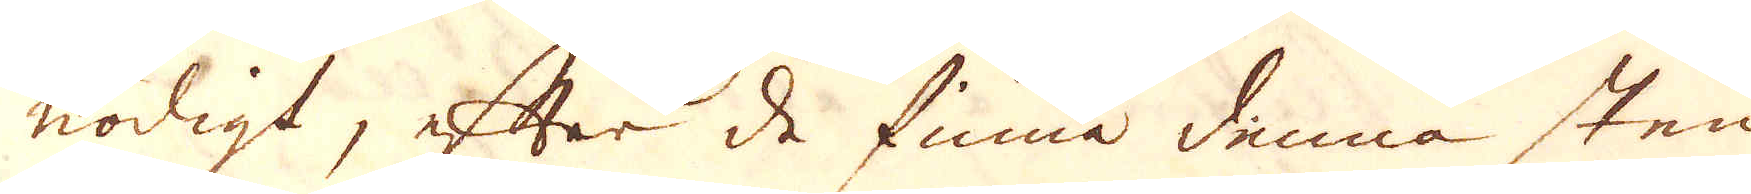nödigt, efter de finna denna sten
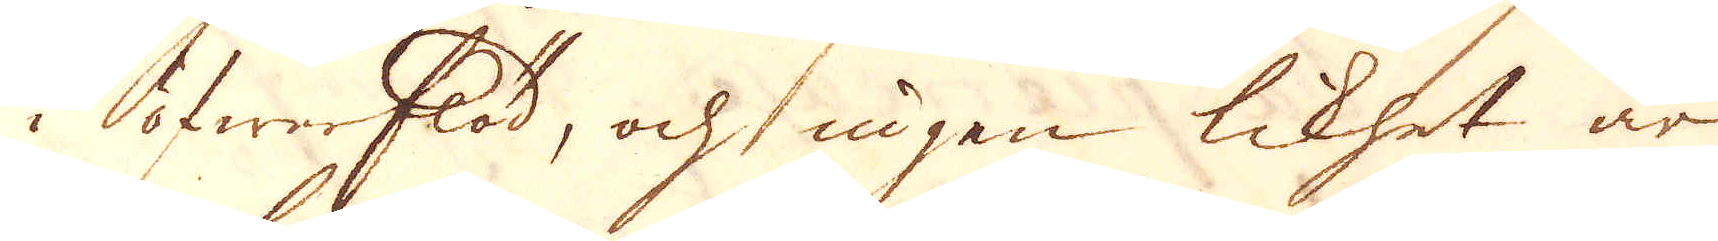i öfwerflöd, och ingen likhet är
